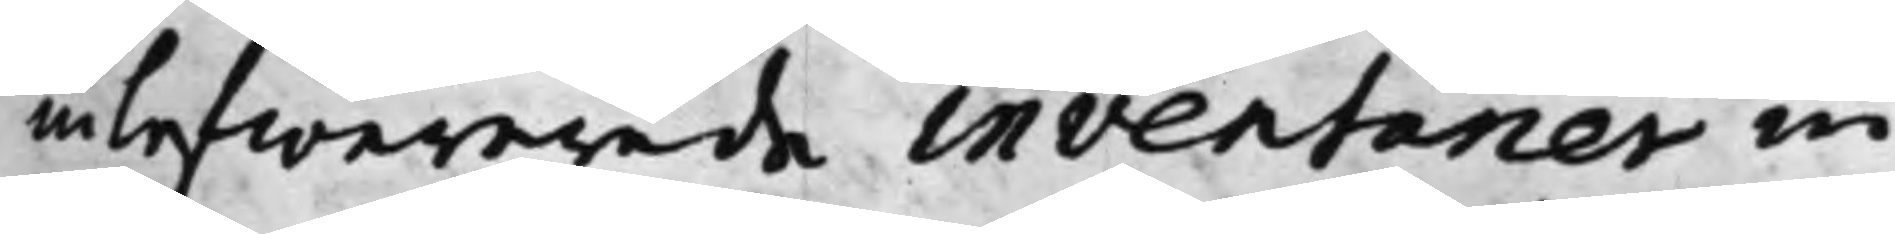inlefwererade inventarier in¬
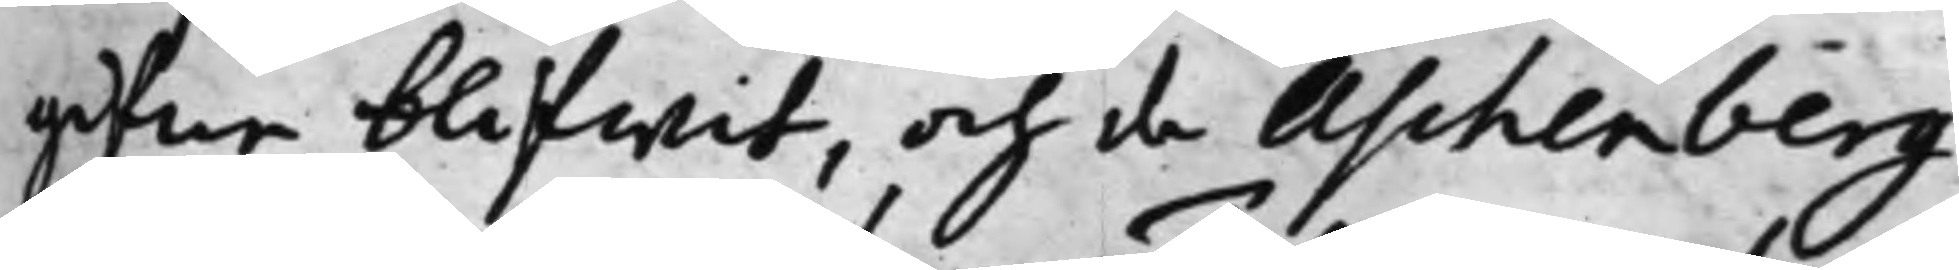gifne blifwit, och de Aschenberg¬
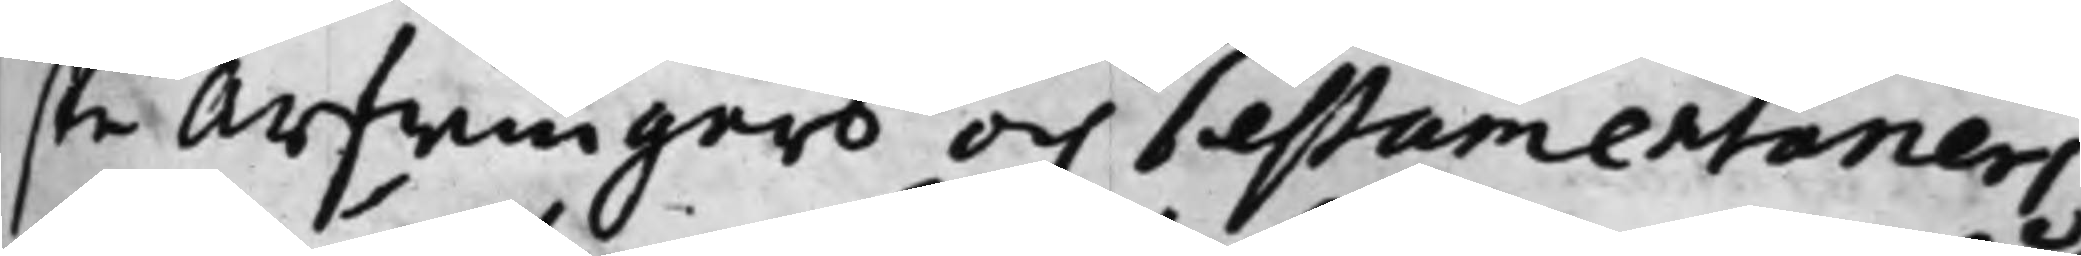ske Arfwingars och Testamentariers
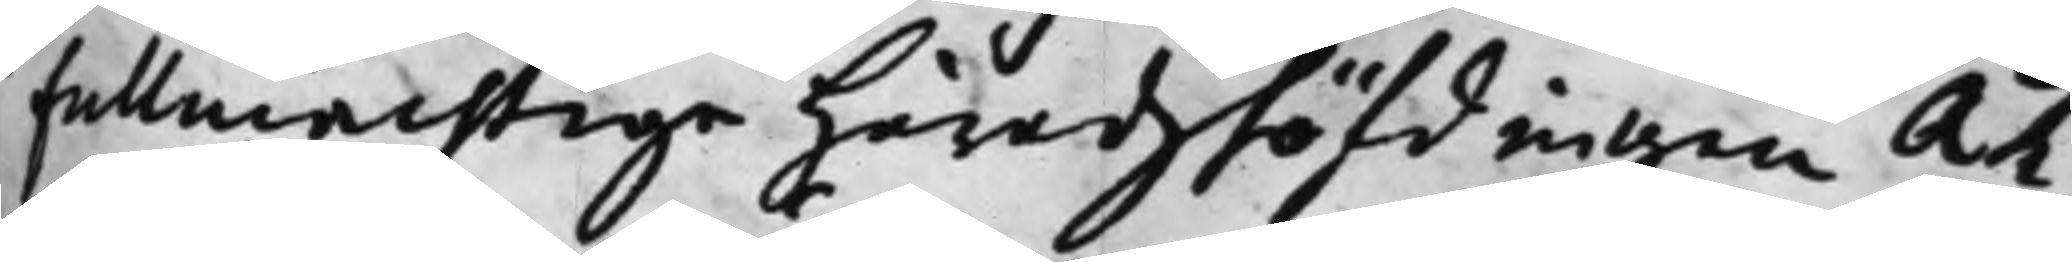fullmächtige Häradshöfdingen Åh¬
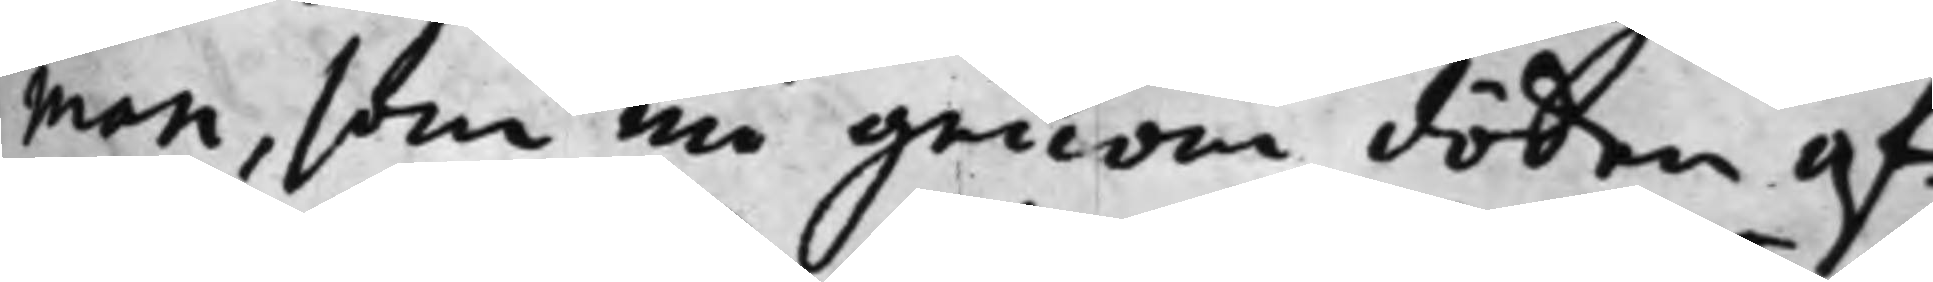man, som nu genom döden af¬
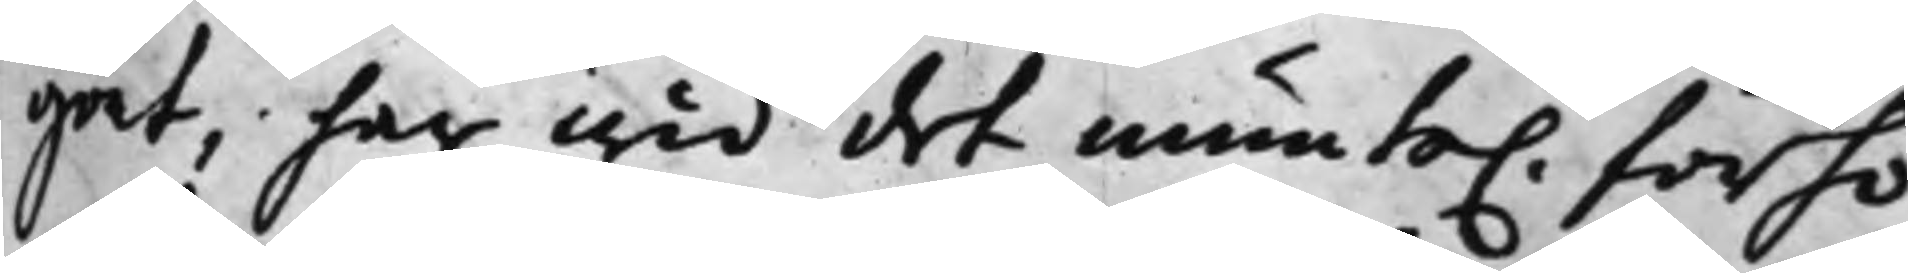gåt, har wid det munte. förhö¬
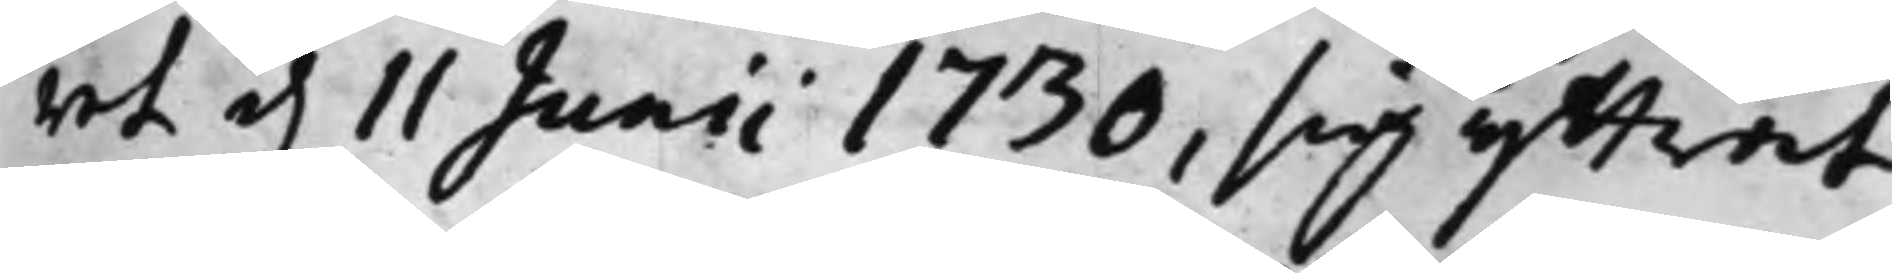ret d. 11 Junii 1730, sig yttrat,
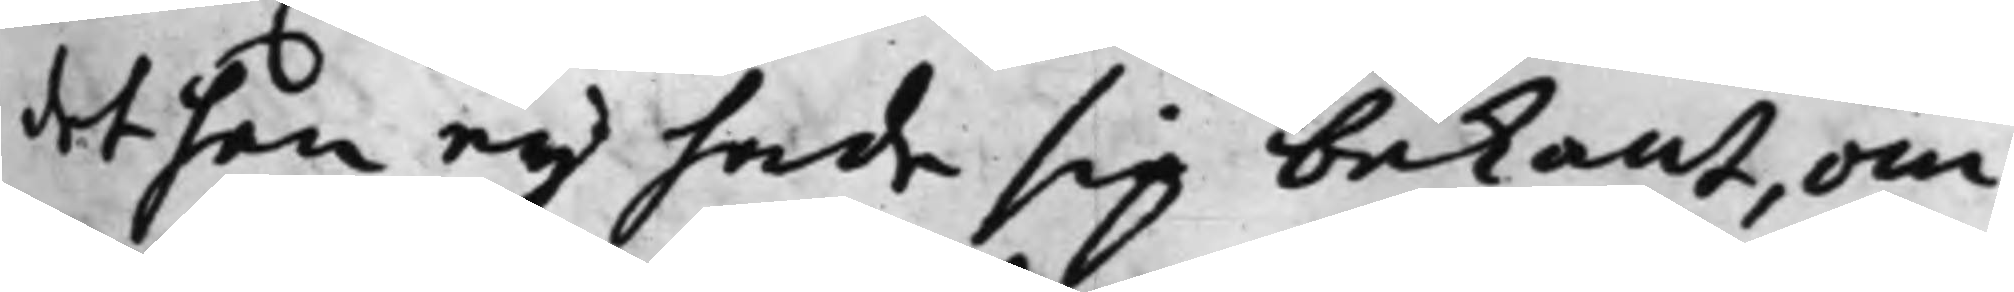det han ey hade sig bekant, om
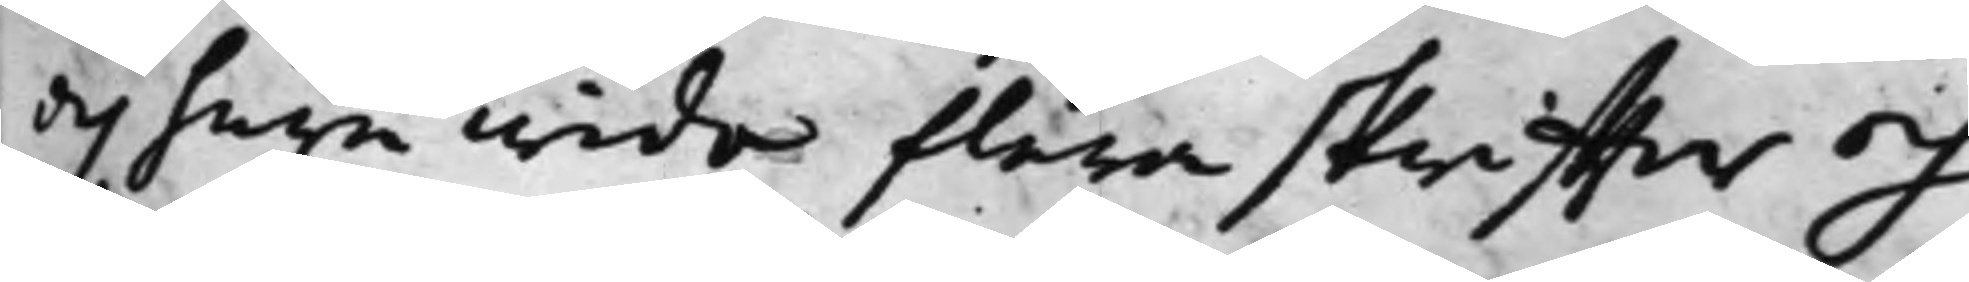och huru wida flera skriffter och
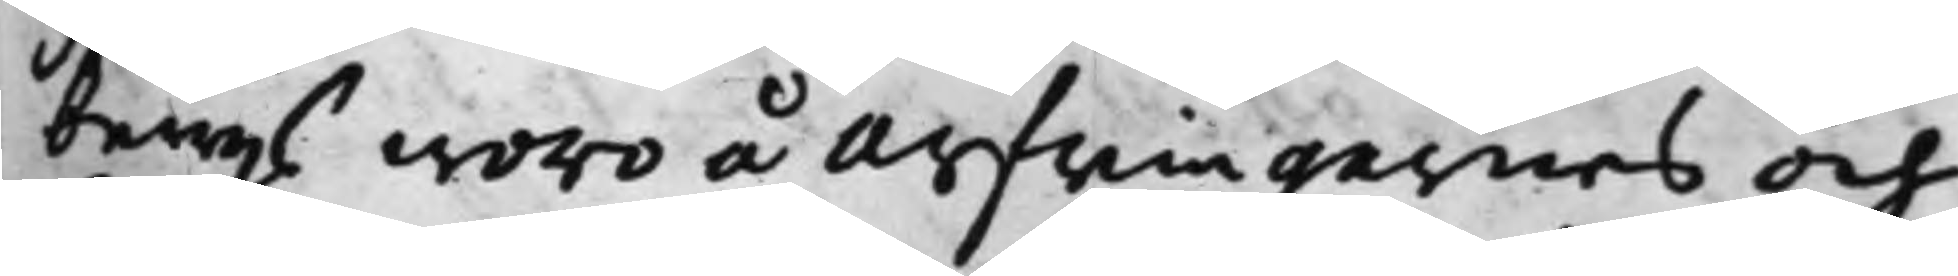bewijs woro å arfwingarnes och
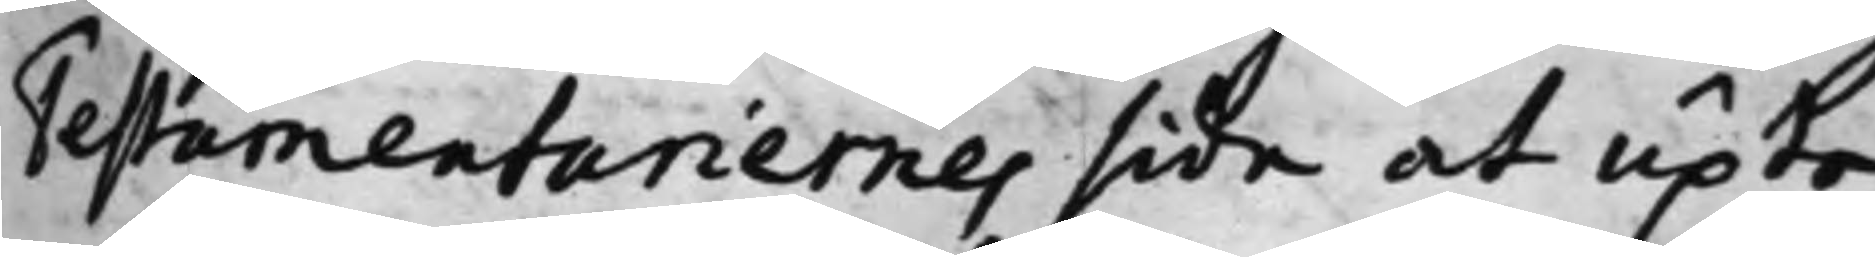Testamentariernes sida at upte,
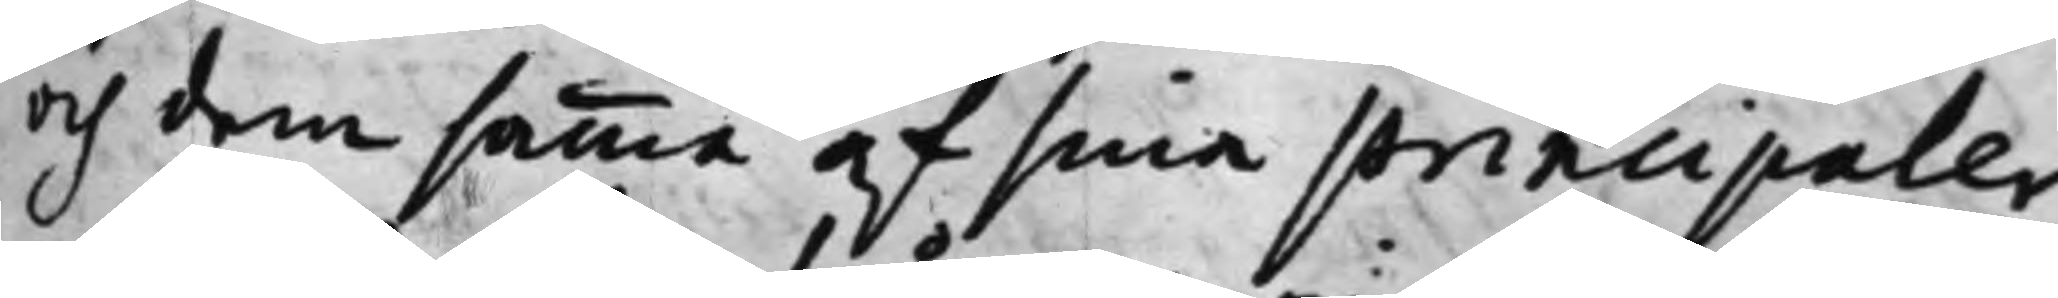och dem samma af sina principaler
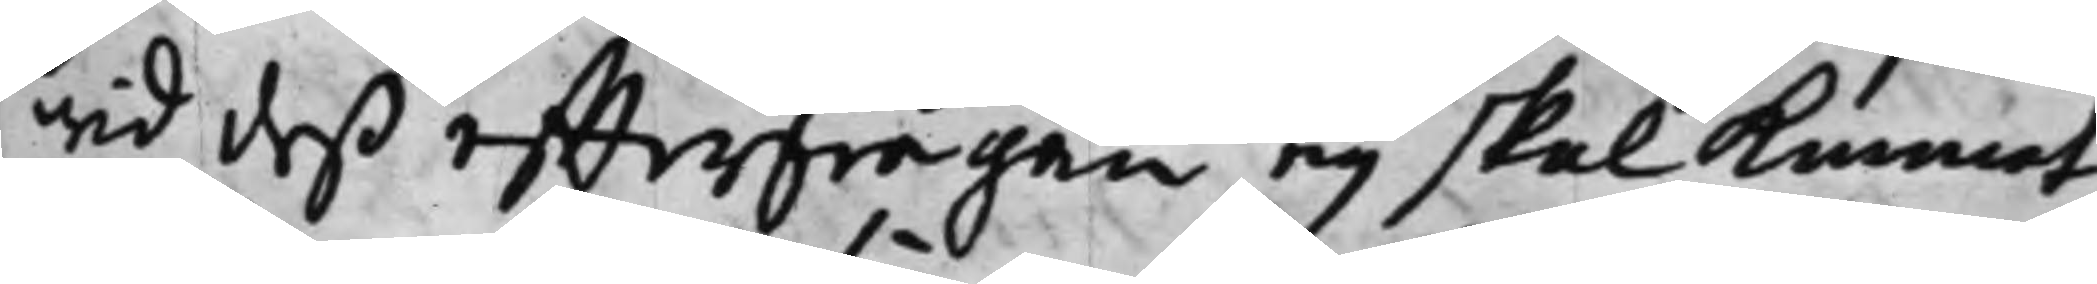wid deß effterfrågan ey skal kunnat
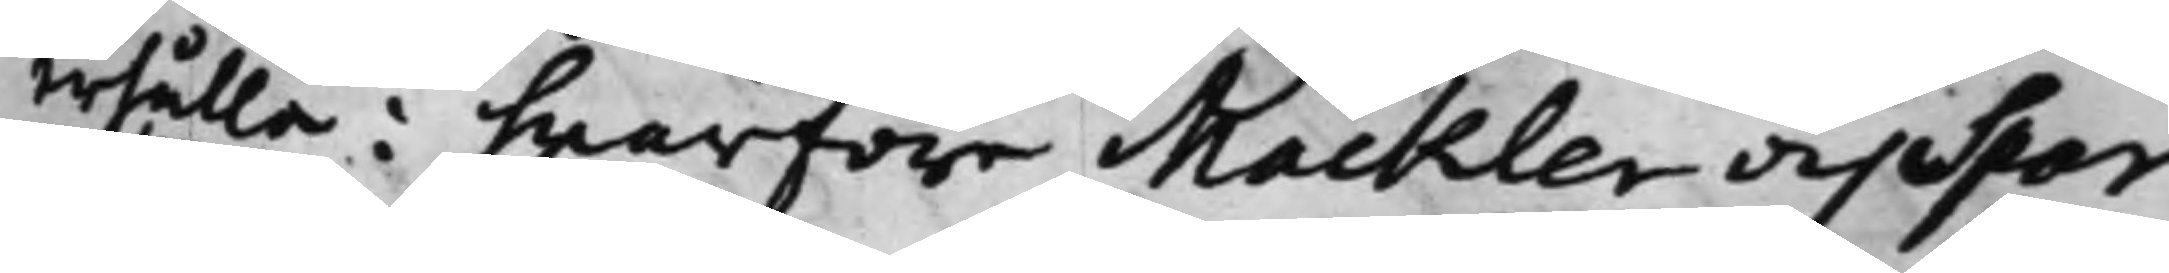erhålla: hwareföre Mackler och Spar¬
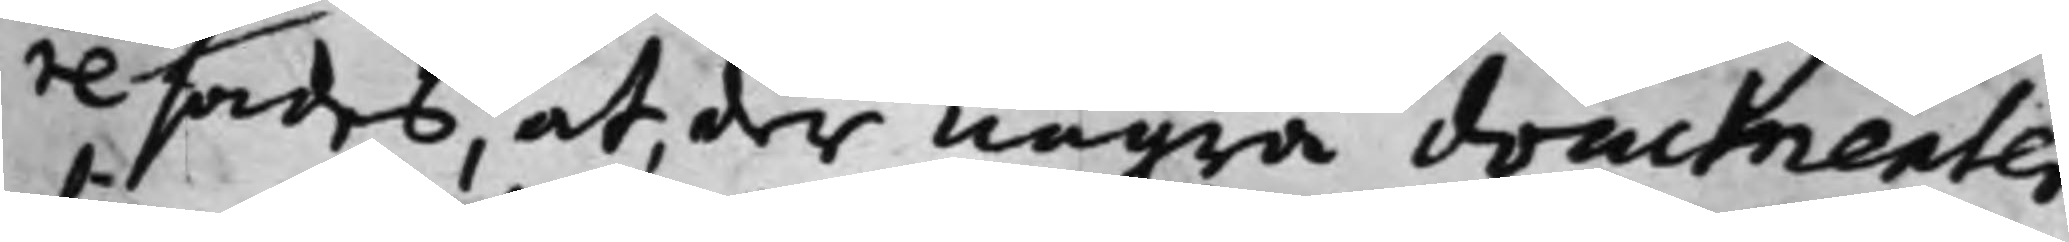re sades, at, der några documenter
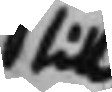till
